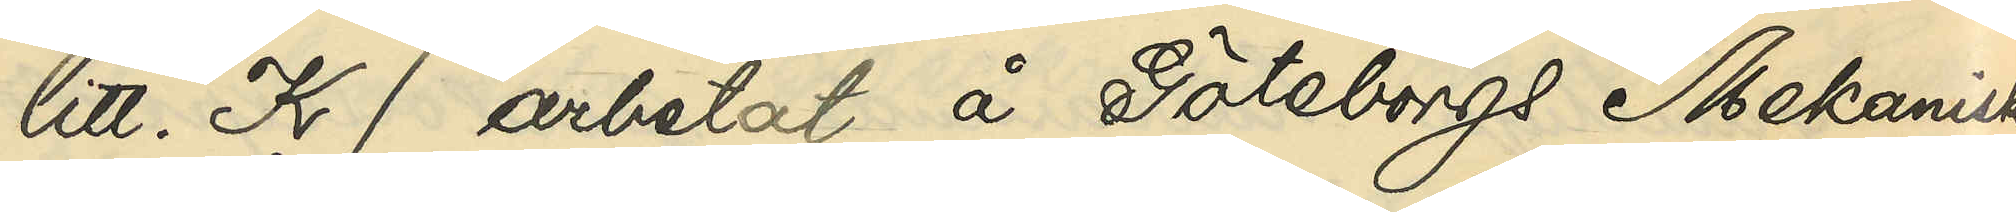litt.K) arbetat i Göteborgs Mekaniska
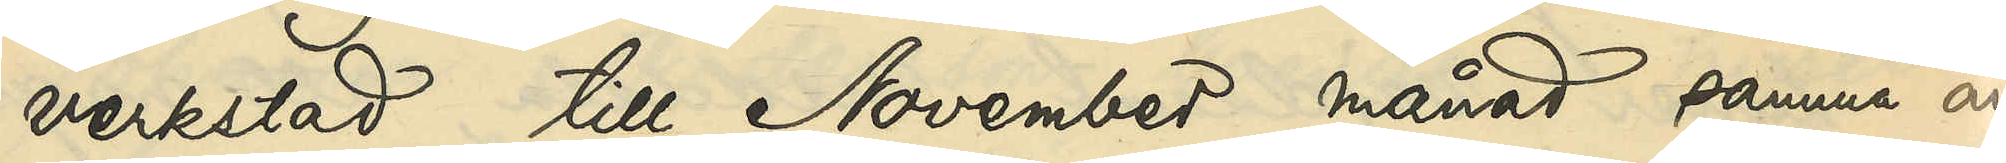verkstad till November månad samma år,
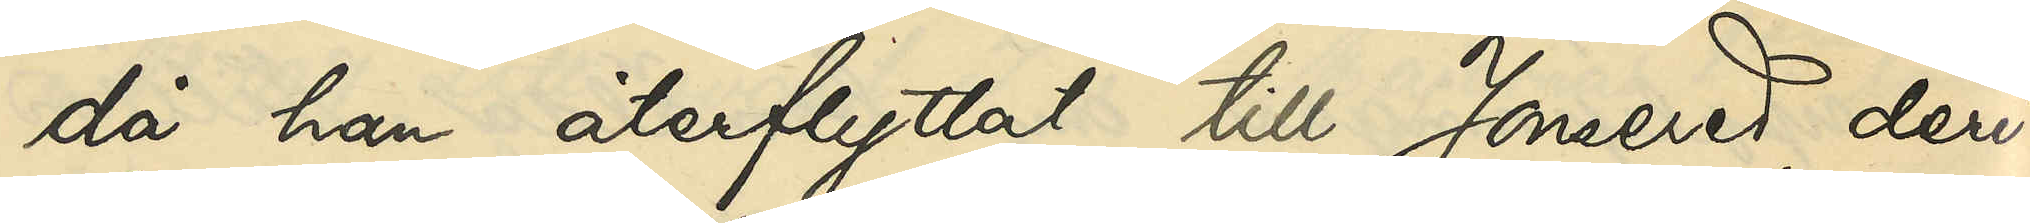då han återflyttat till Jonsered, deri¬
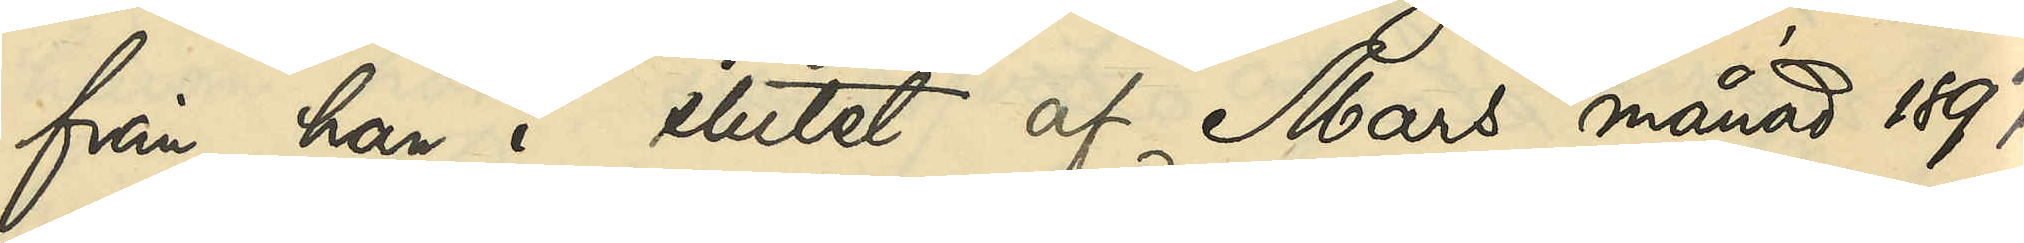från han i slutet af Mars månad 1897
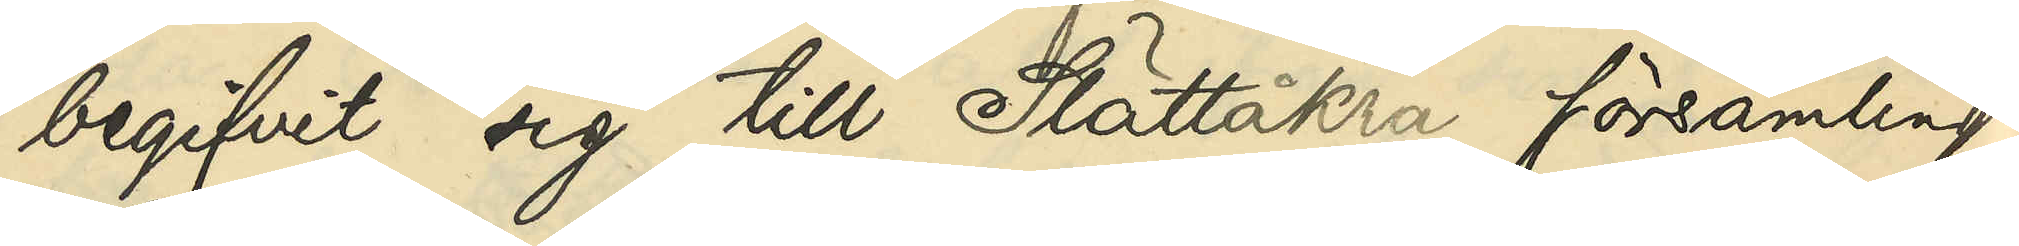begifvit sig till Slättåkra församling i
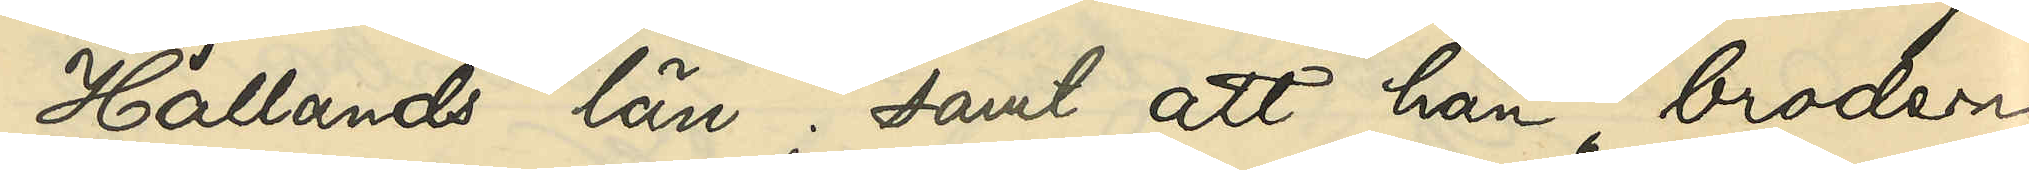Hallands län; samt att han, brodern
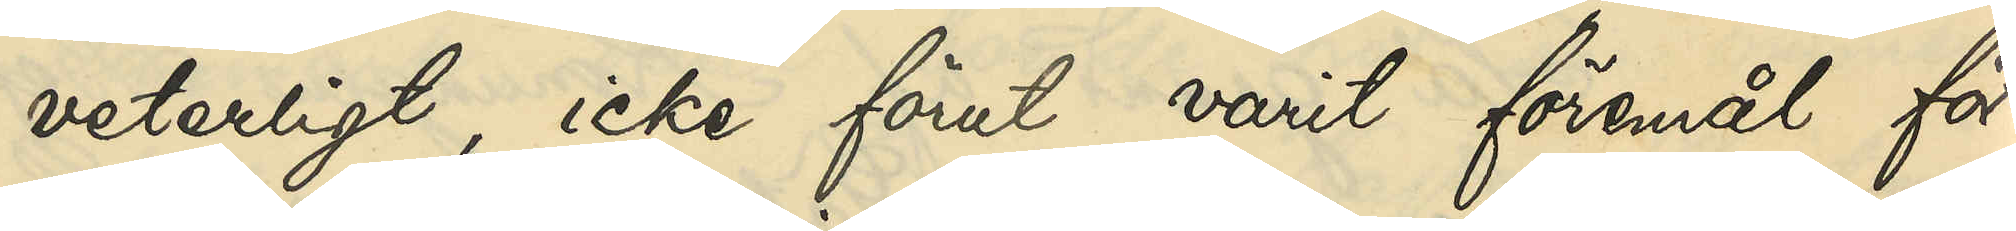veterligt, icke förut varit föremål för
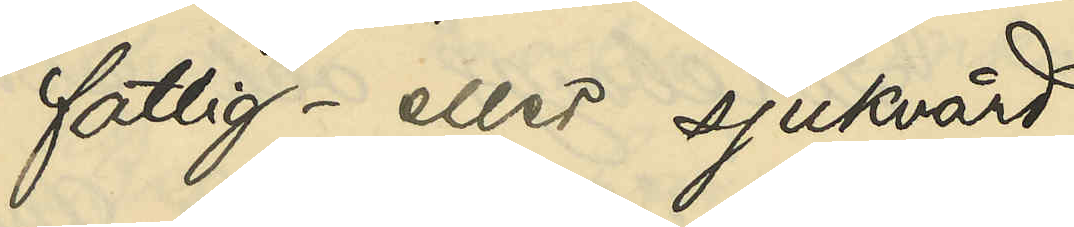fattig- eller sjukvård.
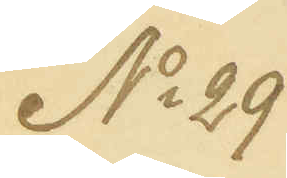No 29
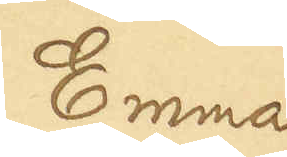Emma
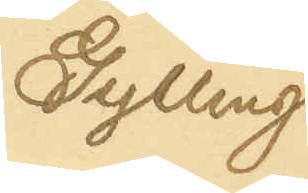Gylling
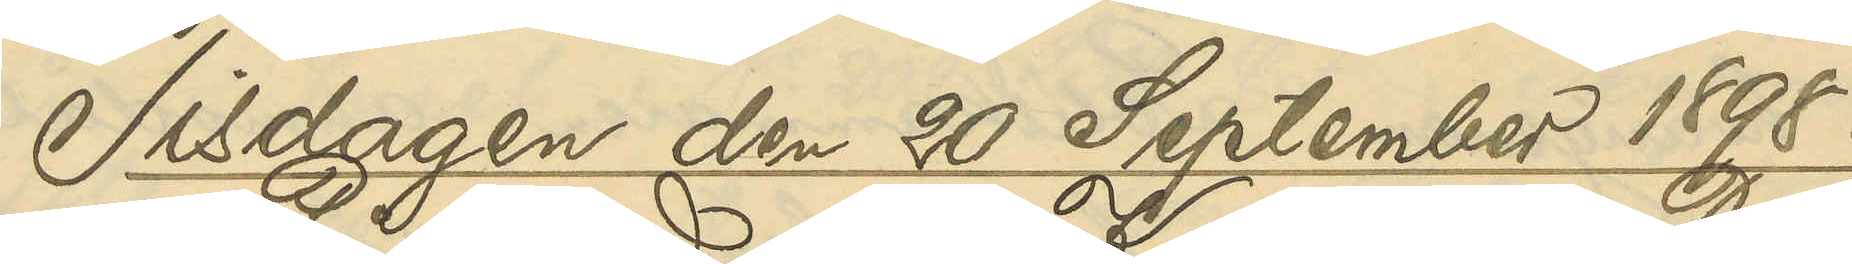Tisdagen den 20 September 1898.
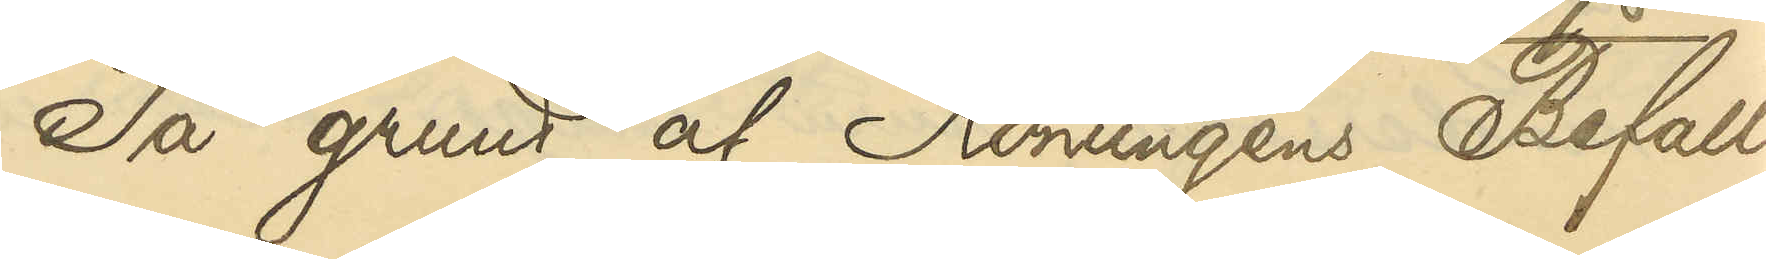På grund af Konungens Befall¬
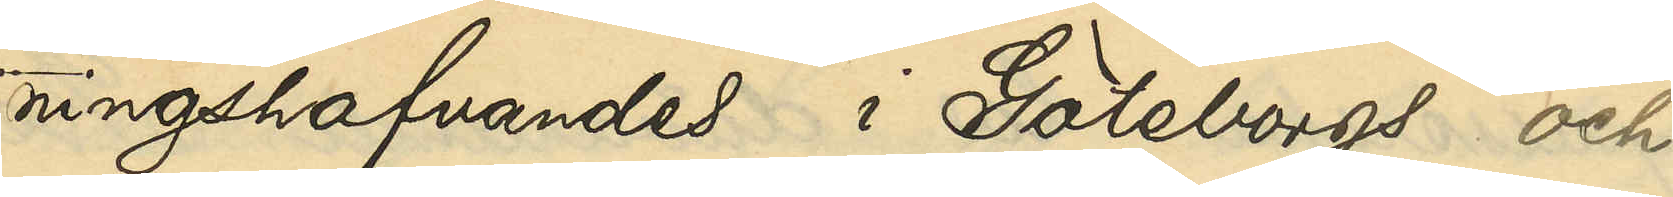ningshafvandes i Göteborgs och
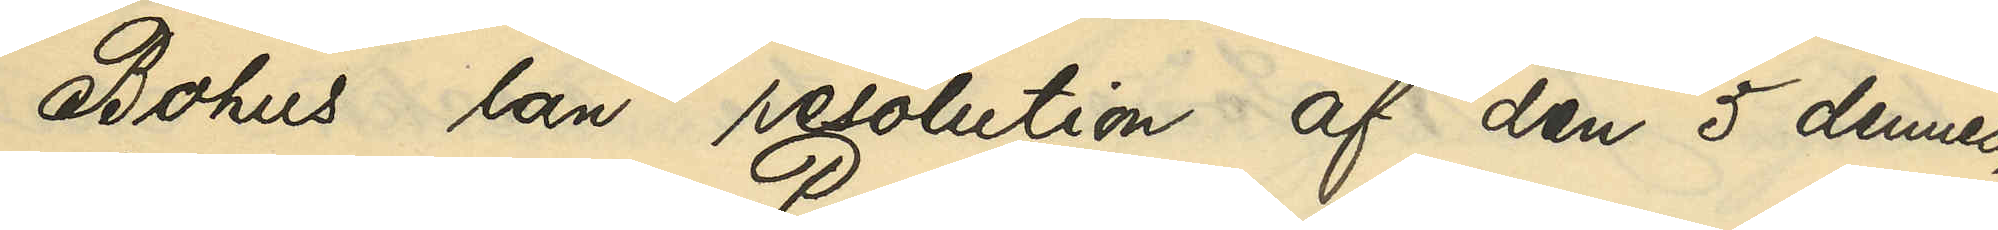Bohus län resolution af den 5 dennes,
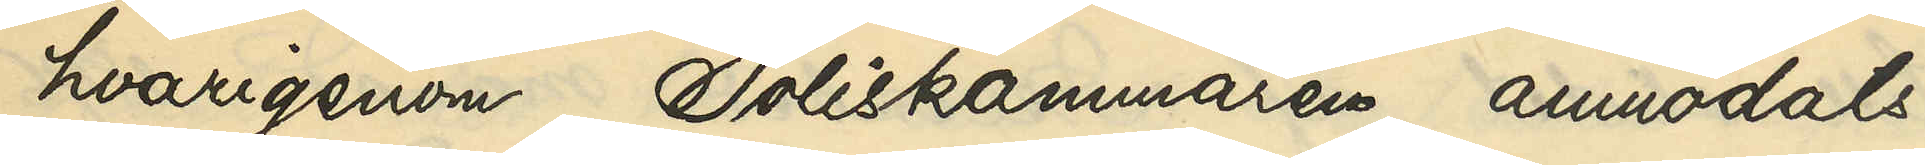hvarigenom Poliskammaren anmodats
